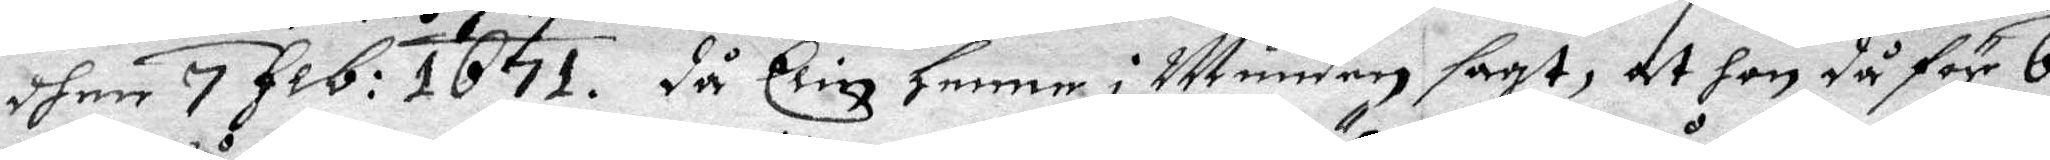dhen 7 feb: 1671. då Elin henne i Munden sagt, at hon då för 6
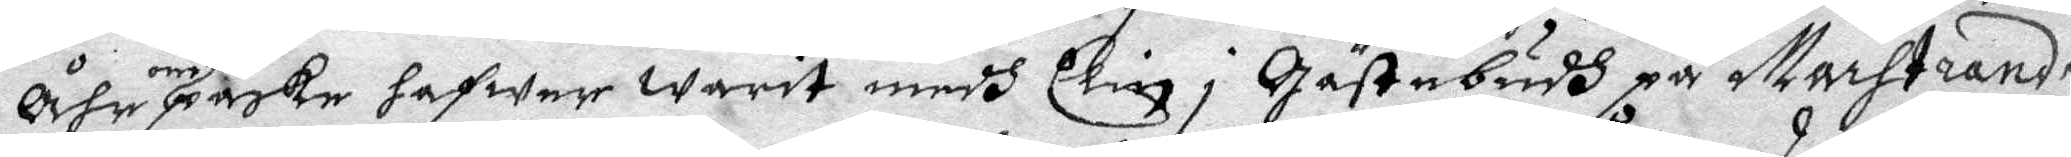åhr om påsken hafwer Warit medh Elin i Gästebudh på Marstrandz
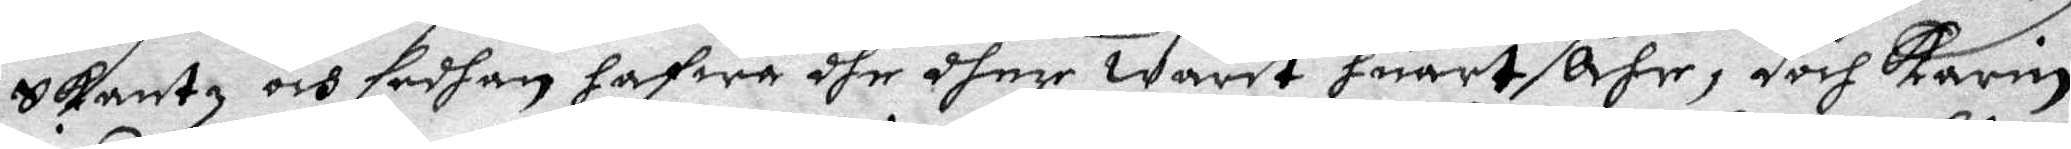Skantz och sedhan hafwa dhe dher Warit huart åhr, doch Karin
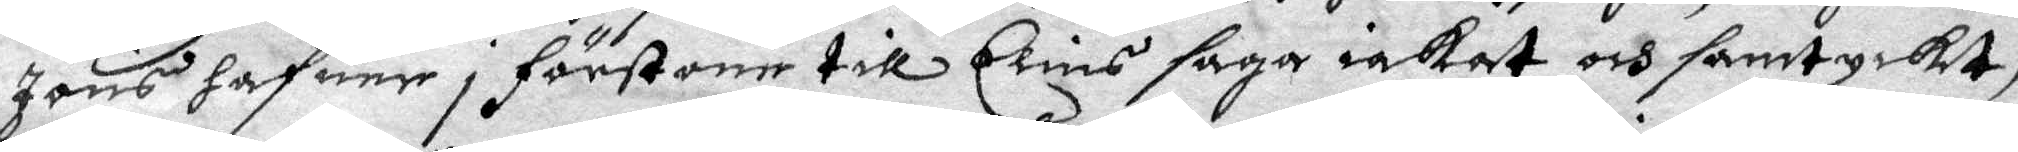Jons hafuer i förstone till Elins saga iakat och samtyckt,
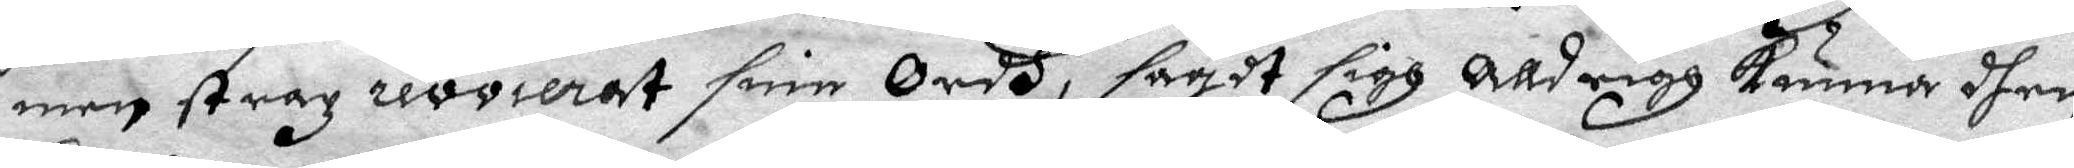men strax revierat sine Ordh, sagdt sigh alldrigh Kunna dhen
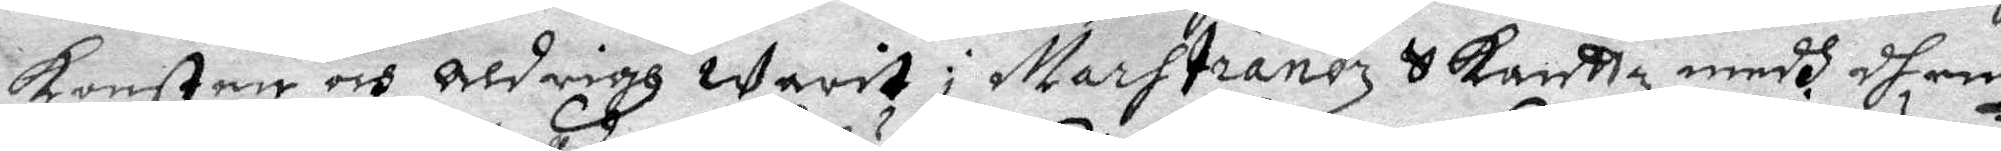Konsten och aldrigh Warit i Martstrandz Skantz medh dhem
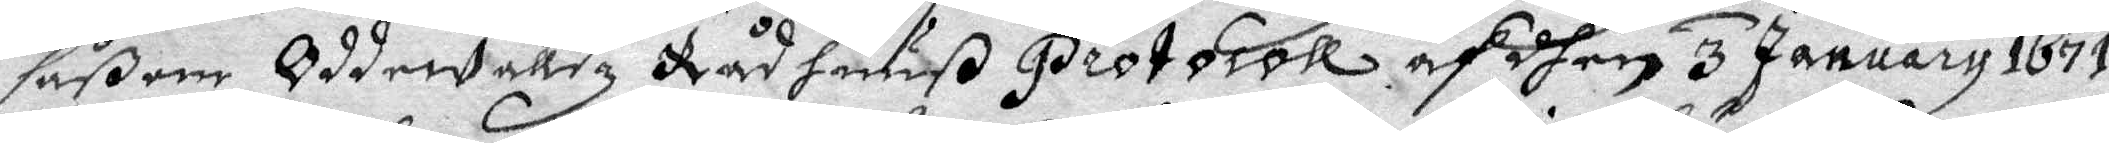såßom Oddewalldz Råd huuß protocoll af dhen 3 January 1671.
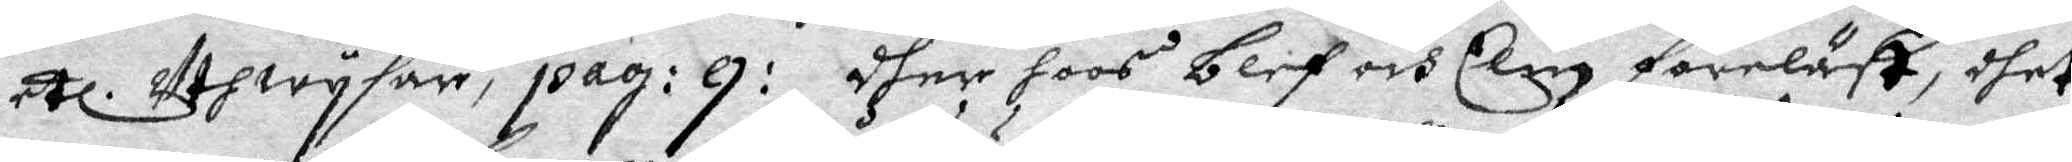etc. Utwysar, pag: g: dher hoos blef och Elin föreläst, dhet
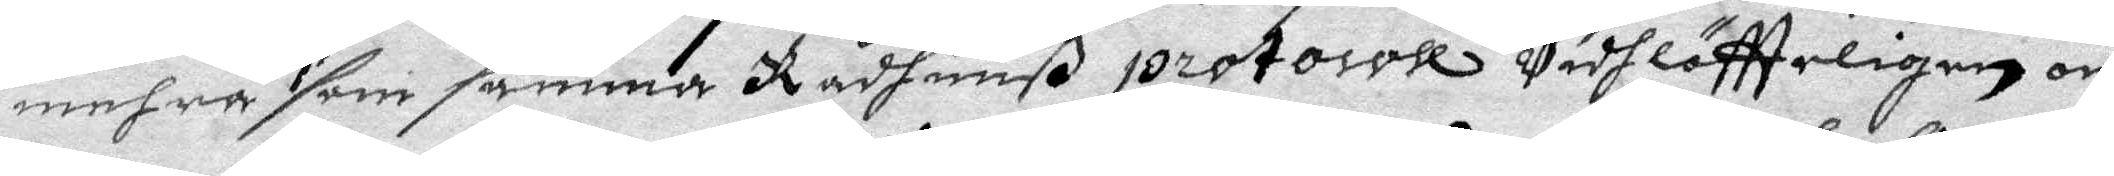mehra som samma Rådhuuß protocoll Vidhlöftteligen om
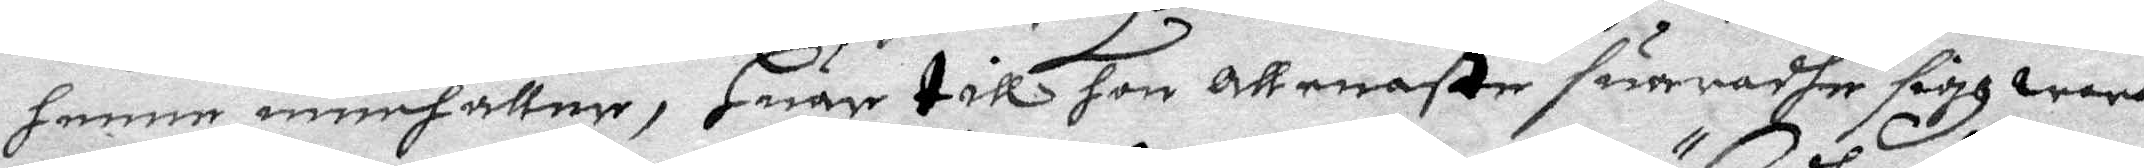henne innehåller, Huar till hon allenaste suardhe sifg wara
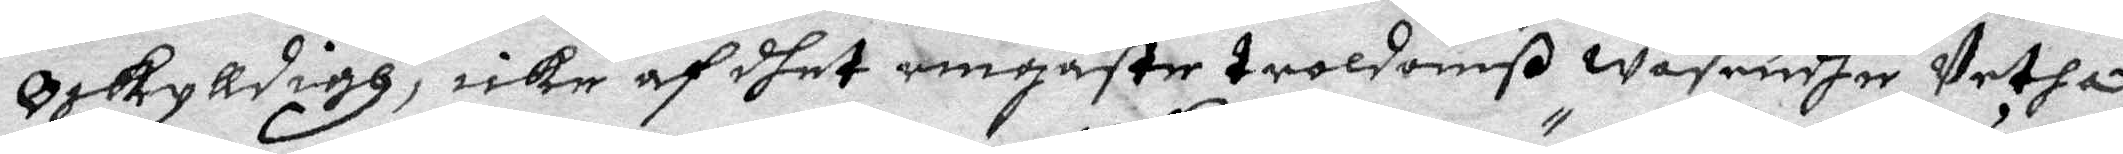Oskyldigh, icke af dhet ringaste troldomß Wäsendhe Vetha,
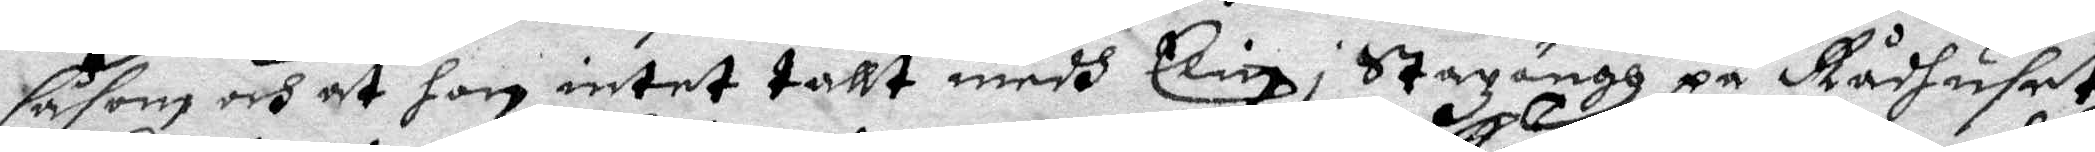såsom och at hon intet tallt medh Elin i Stazängh på Rådhuset,
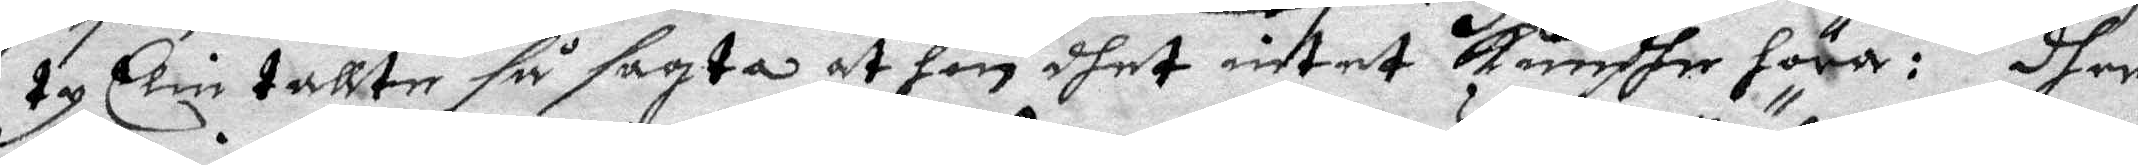ty Elin tallte så sagta at hon dhet intet kundhe höra: dher
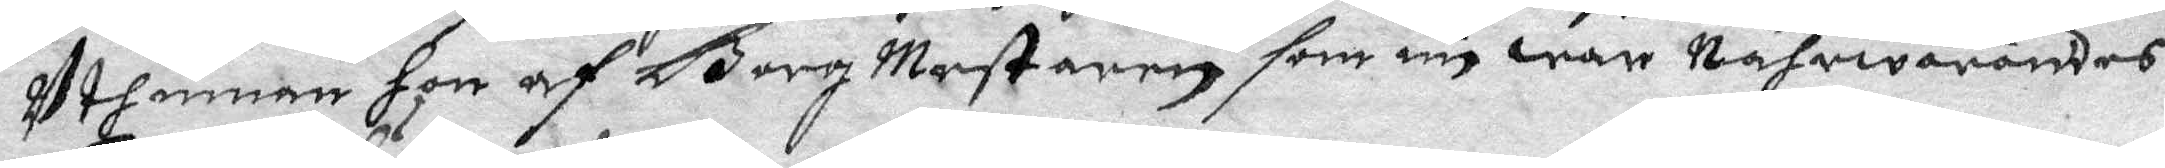Uthinnan hon af Borg Mestaren som nu war Nährwarandes
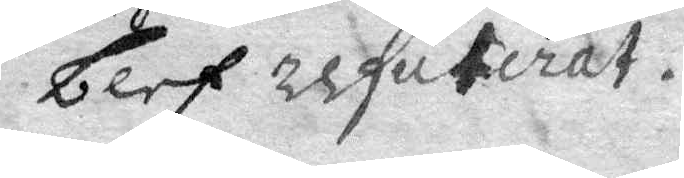blef refuterat.
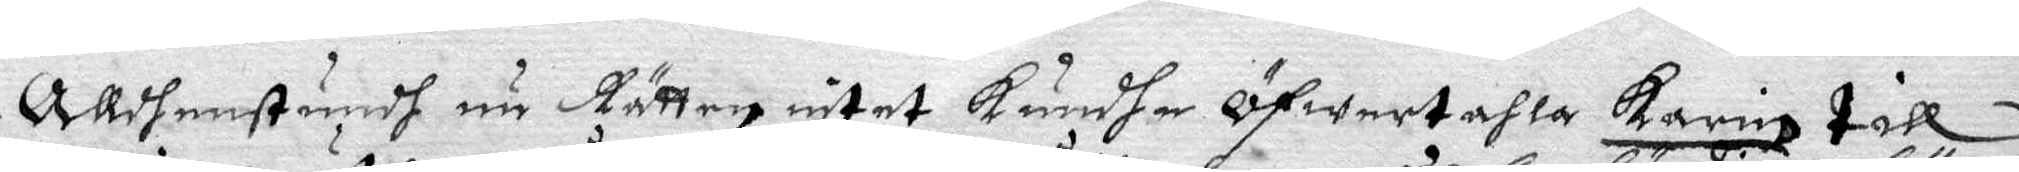Alldenstundh nu Rätten intetKundhe Öfwertahla Karin till
